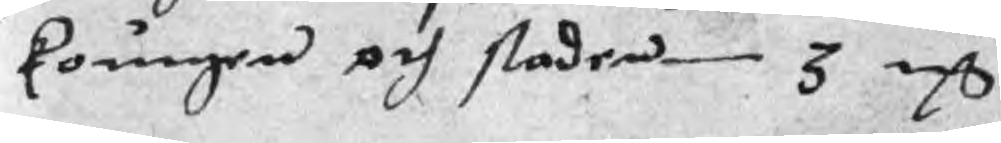koungen och staden 3 mC
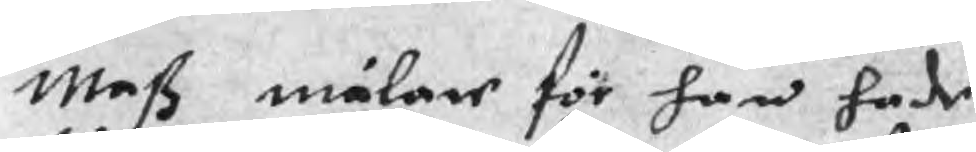Maß målare för han hade
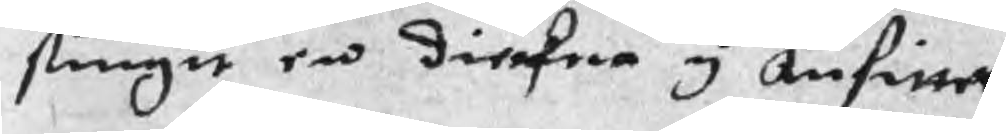stungit en dieckna y ansittet
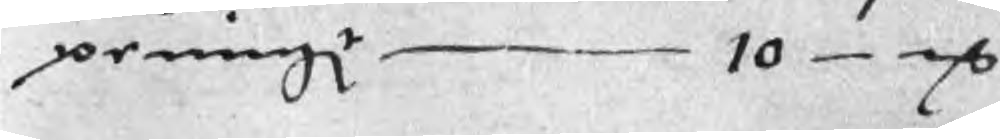peningr 10 mC
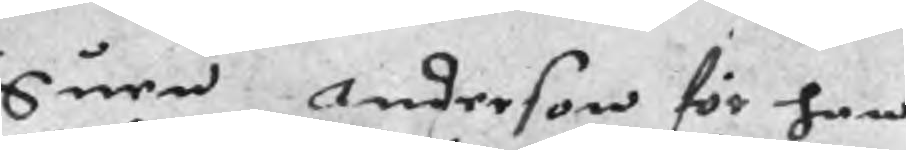Suen Anderson för han
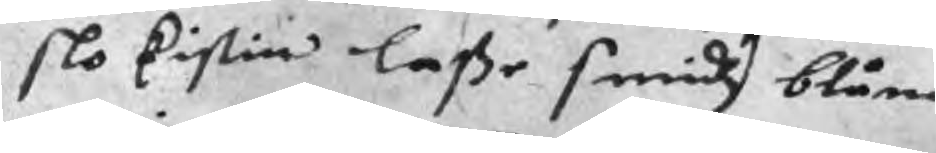slo Cistin laße smidz blånad
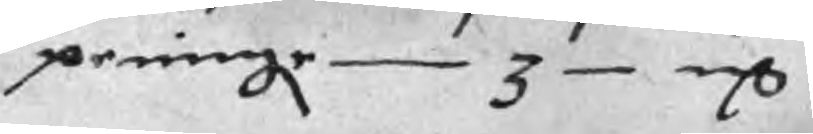peningr 3 mC
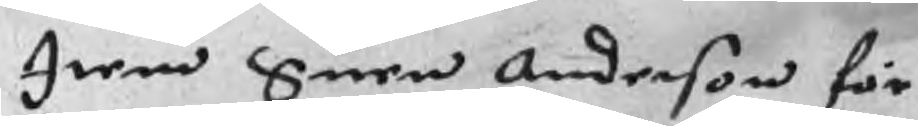Item Suen Anderson för
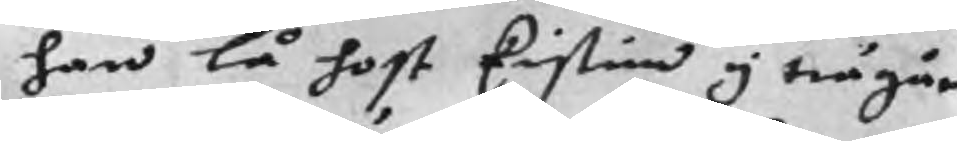han lå host kistin y trägår
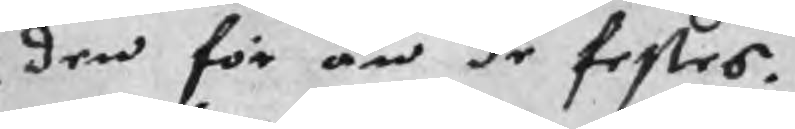den för än de festes.
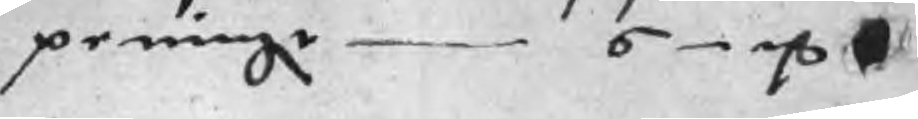peningr 6 mC
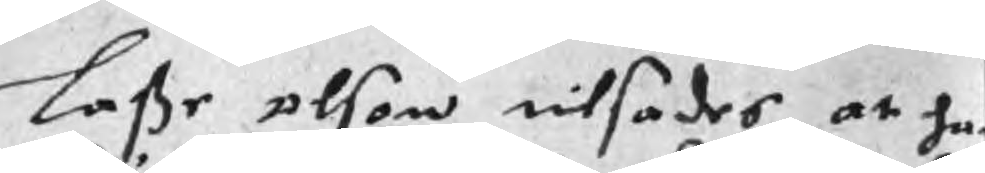Laße olson tilsades at han
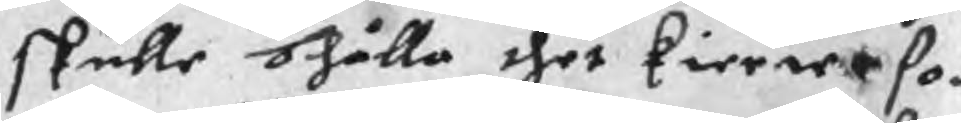skulle bhålla thet Kierwe som
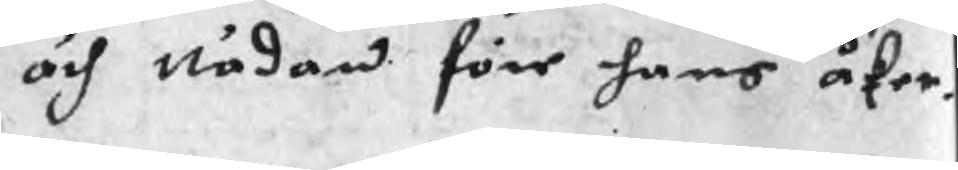och nådan före hans åfer.
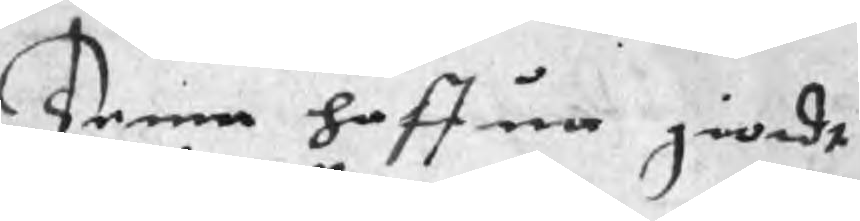Denne haffua giordt
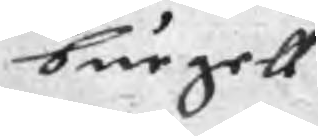burgell
